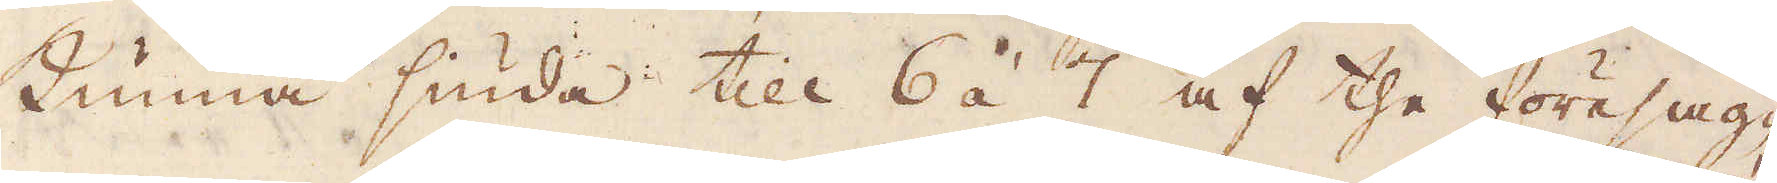kunna siuda till 6 á 7 af the före sag-
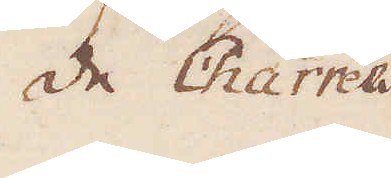de Charrées
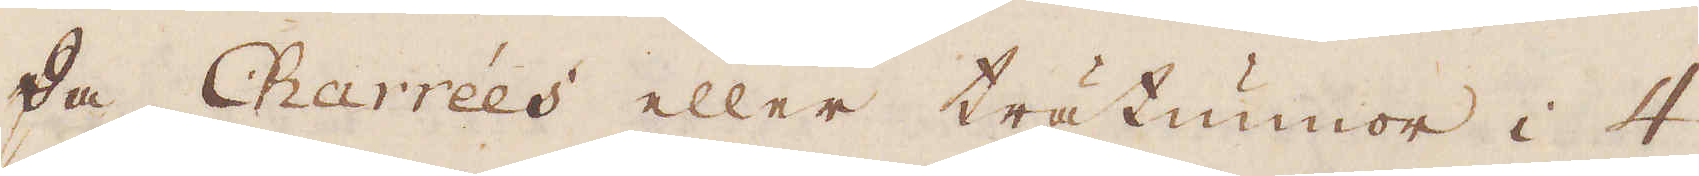de Charrées eller trätunnor i 4
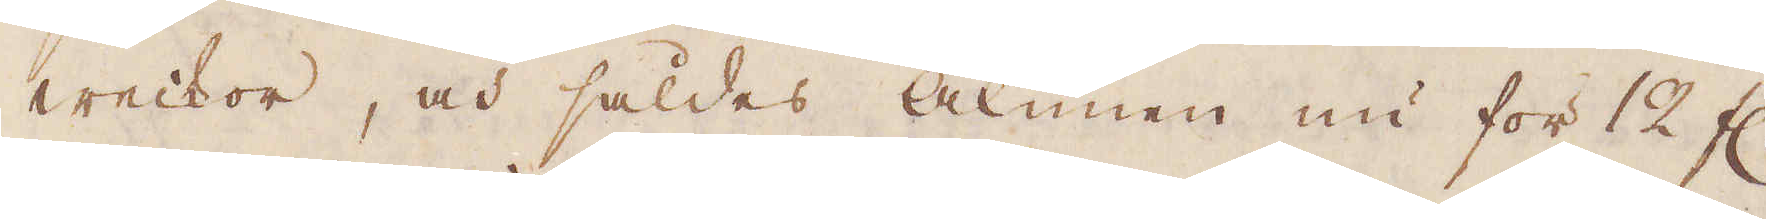weckor, och såldes alunen nu för 12 fl.
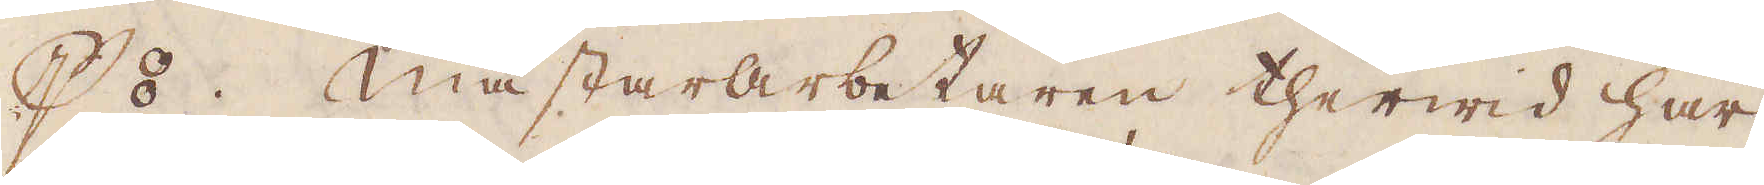p ⦂. Mästararbetaren therwid har
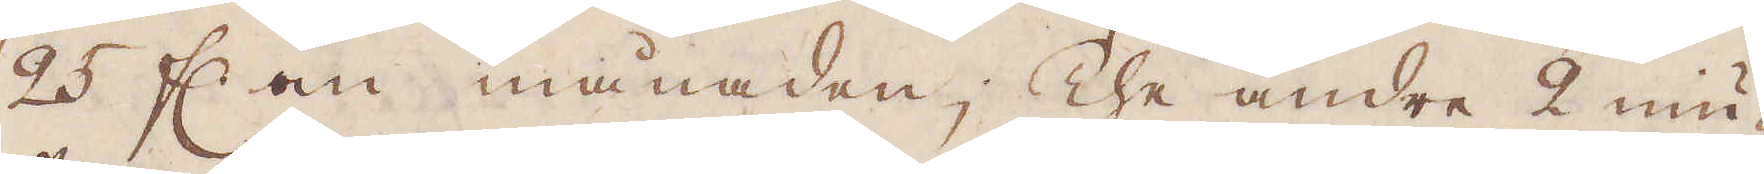25 fl. om månaden; The andre 2 niu-
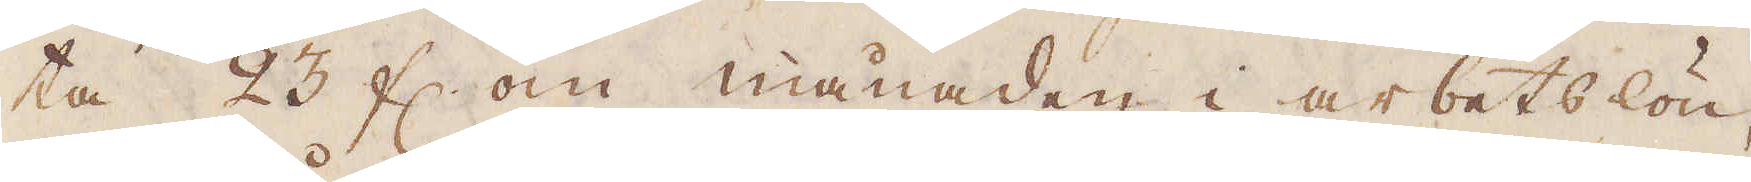ta 23 fl. om månaden i arbetslön,
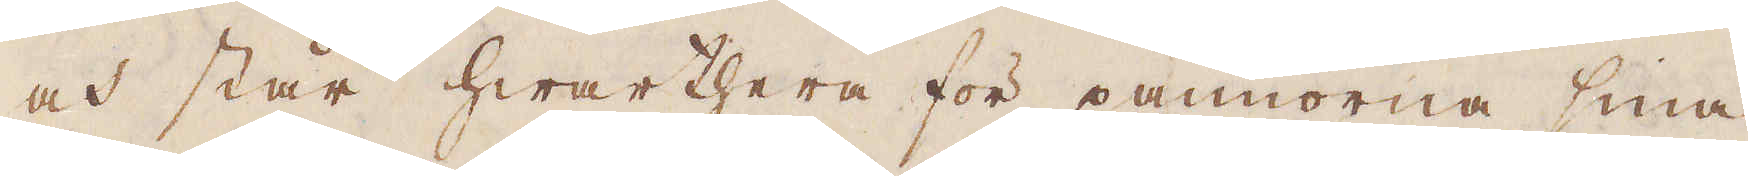och står hwarthera för pannorna sina
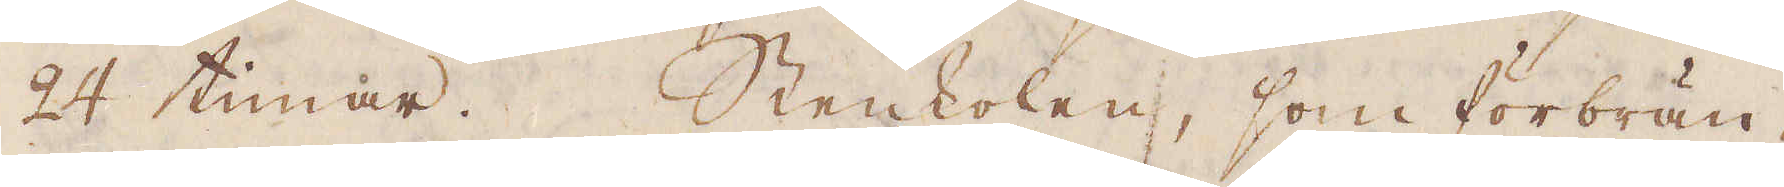24 timar. Stenkolen, som förbrän-
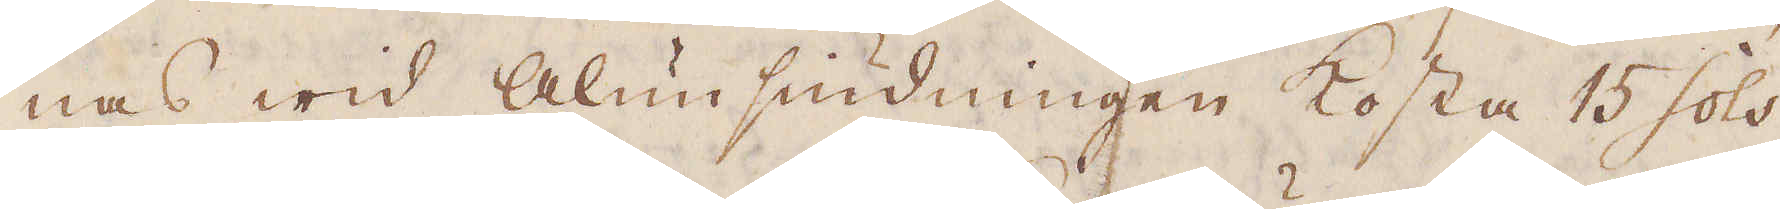nas wid Alunsiudningen kosta 15 sols
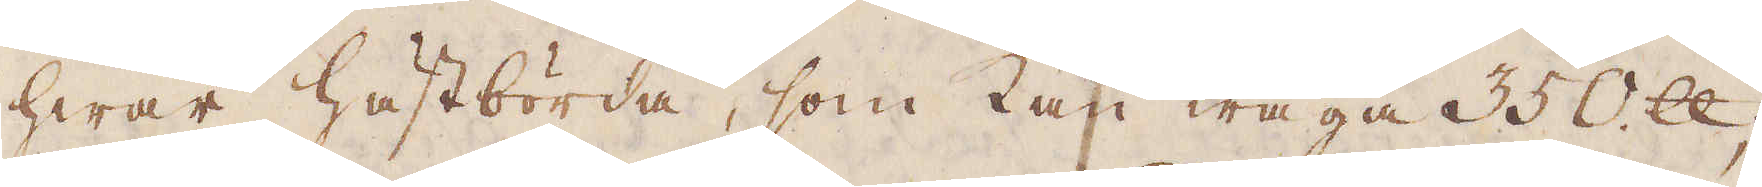hwar hästbörda, som kan wäga 350 skålpund;
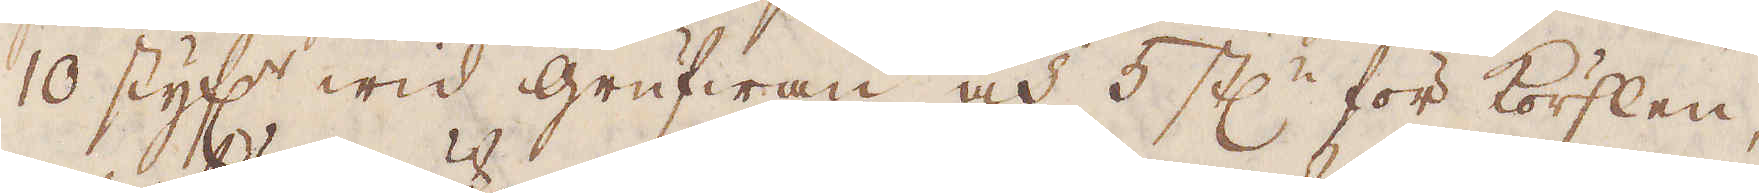10 styf:r wid grufwan och 5 st:r för körslen,
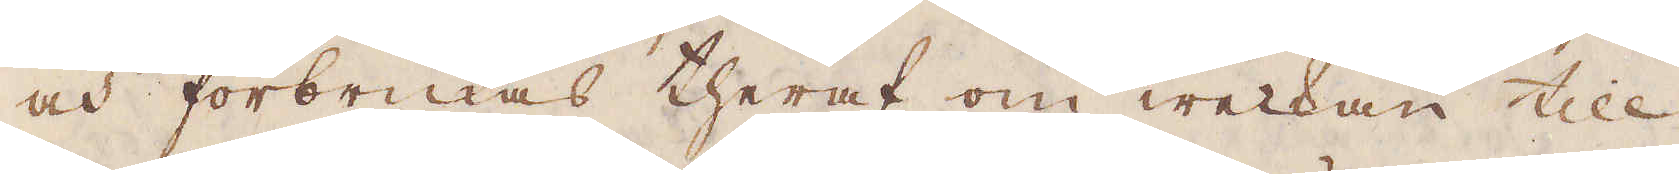och förbrukas theraf om weckan till
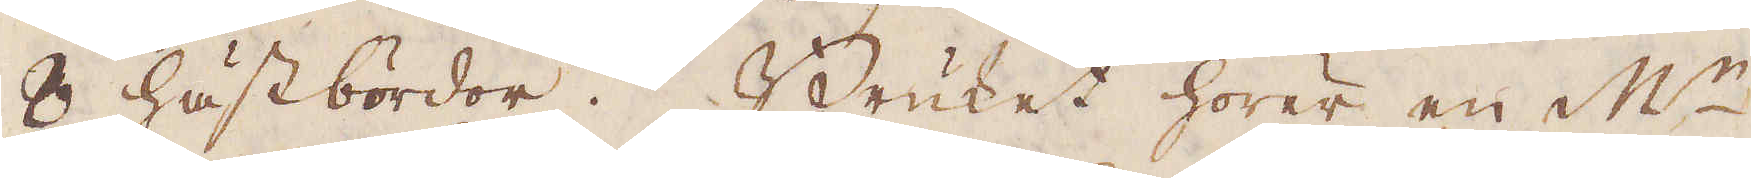8 hästbördor. Bruket hörer en M:r
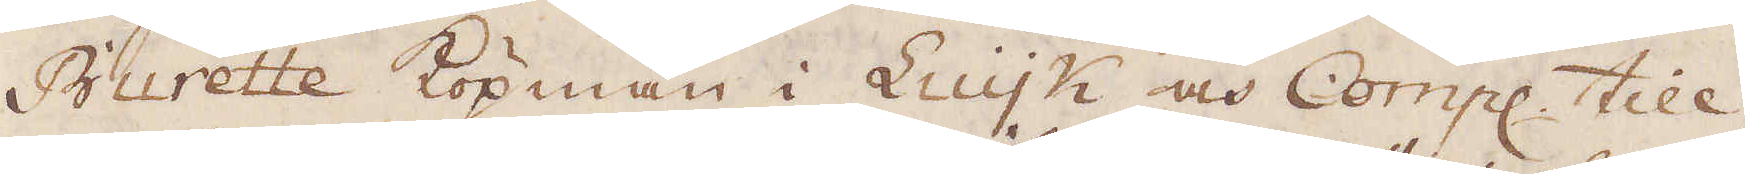Burette köpman i Luijk och Comp:e till,
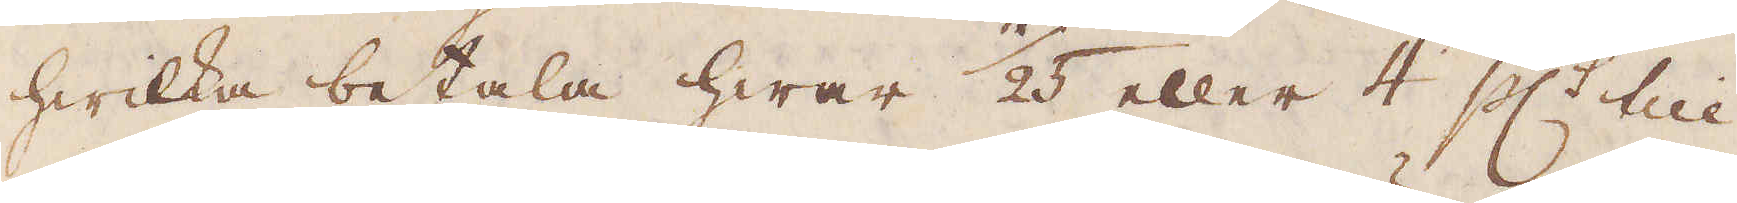hwilka betala hwar 1/25 eller 4 pc:t till
